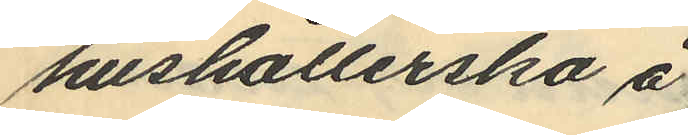hushållerska å
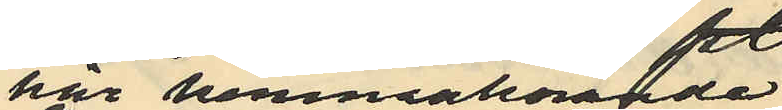här hemmahörande
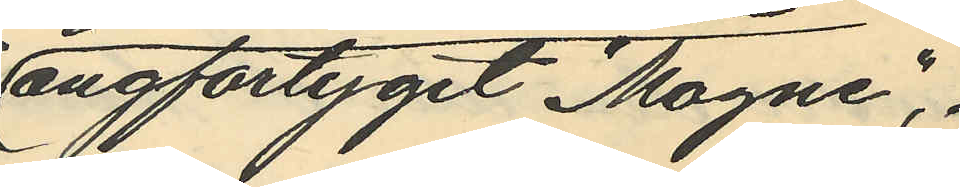ångfartyget "Magne",
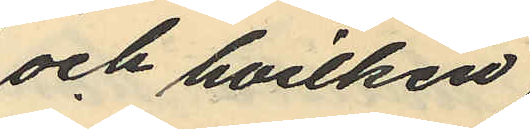och hvilken
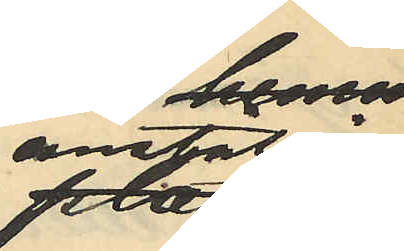anställning
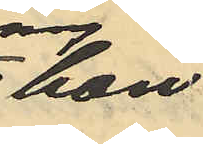hon
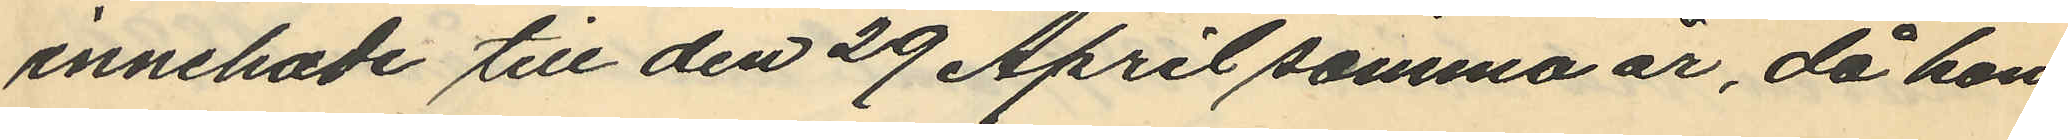innehade till den 29 April samma år, då hon
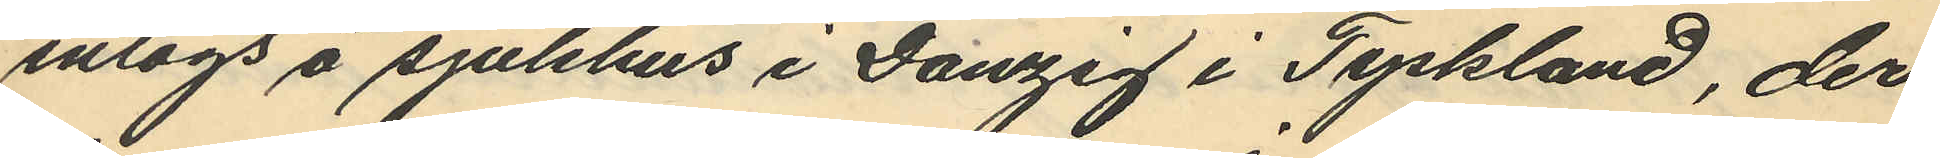intogs å sjukhus i Danzig i Tyskland, der
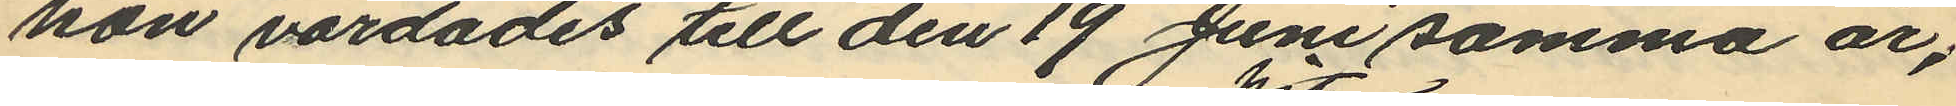han vårdades till den 19 Juni samma år;
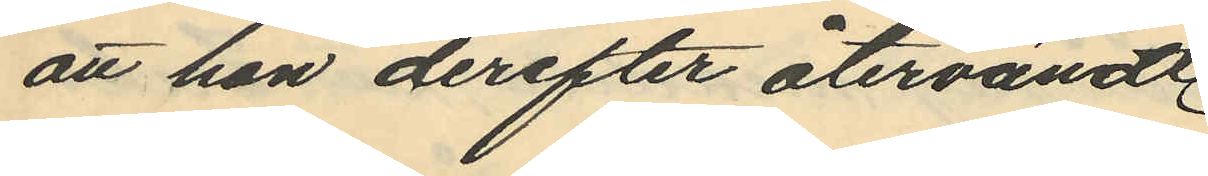att hon derefter återvändt
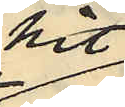hit
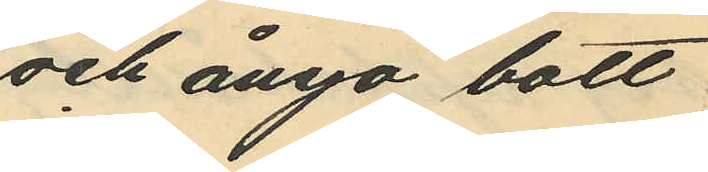och ånyo bott
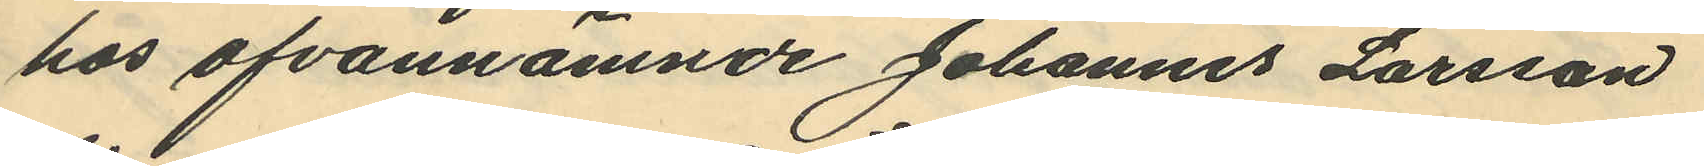hos ofvannämnde Johannes Larsson
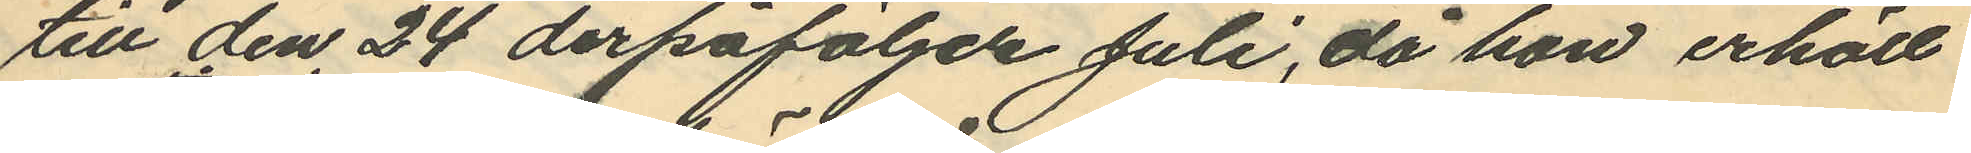till den 24 derpåföljde Juli, då hon erhöll
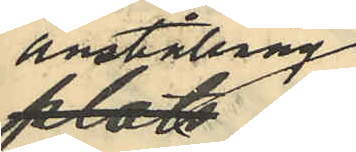anställning
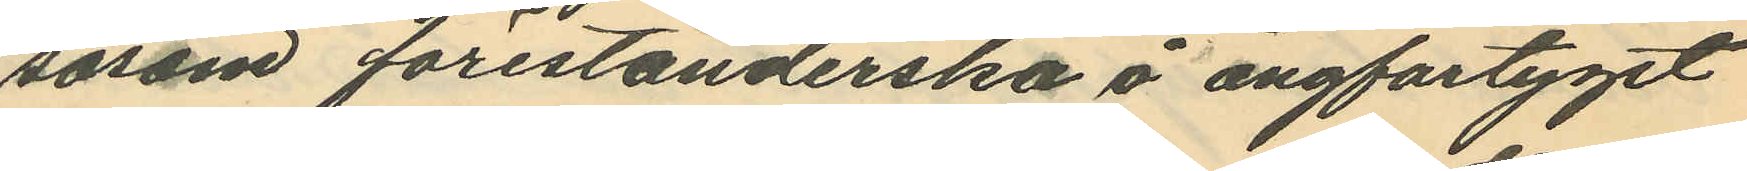såsom förestånderska å ångfartyget
